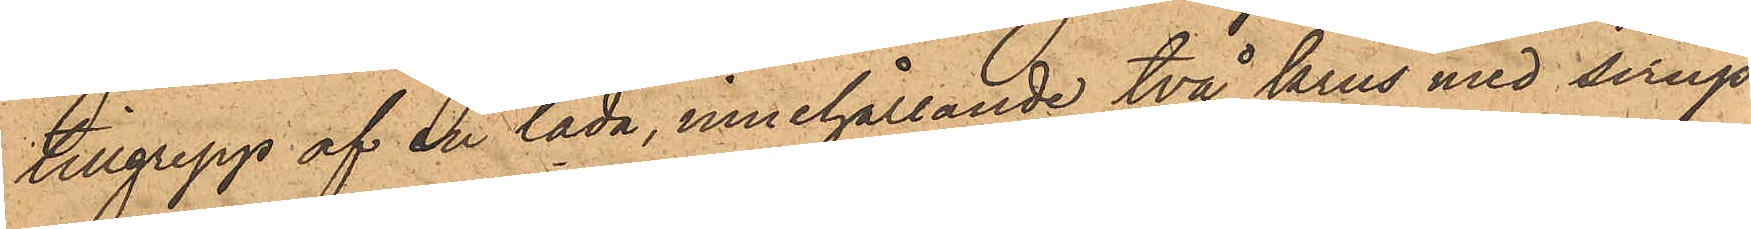tillgrepp af en låda, innehållande två krus med sirap
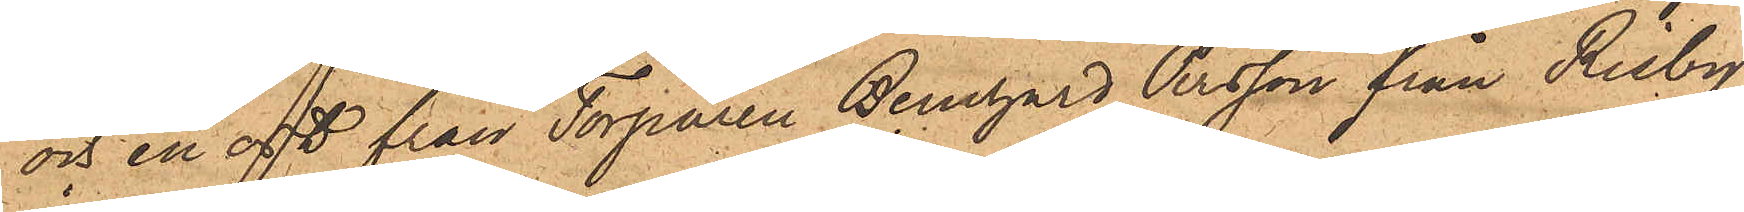och en ost från Torparen Bernhard Persson från Risby
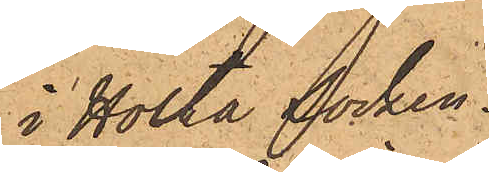i Holta Socken.
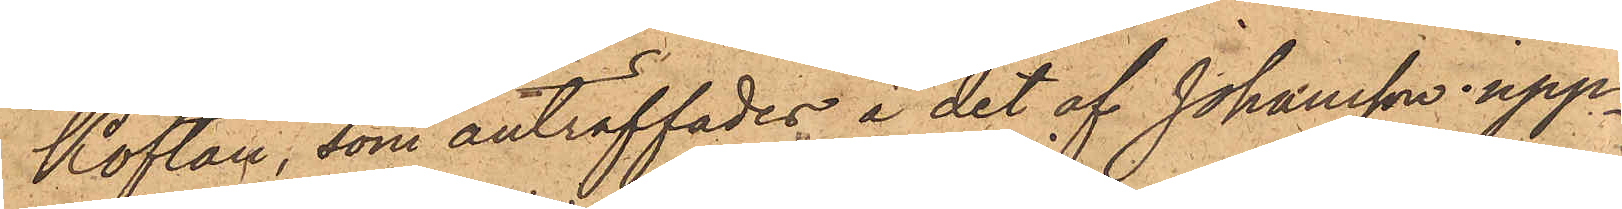Koftan, som anträffades å det af Johansson upp¬
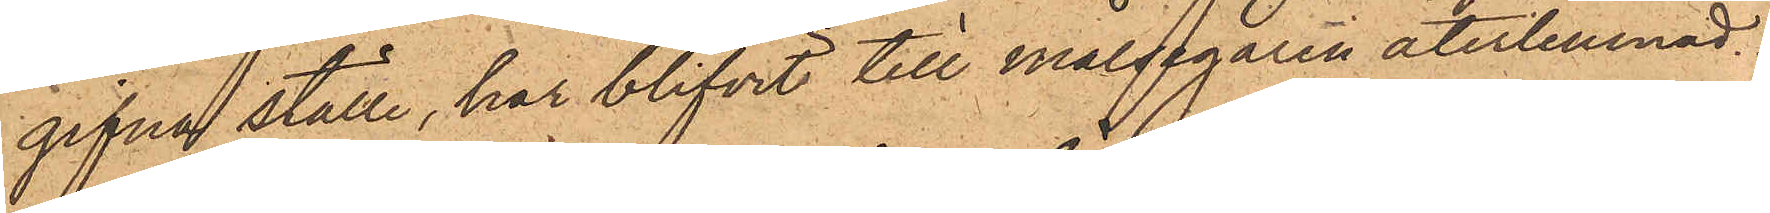gifna ställe, har blifvit till målsegaren återlemnad.
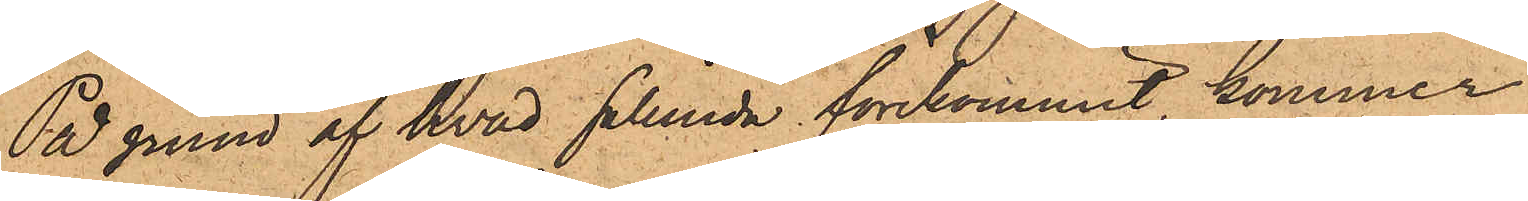På grund af hvad sålunda förekommit kommer
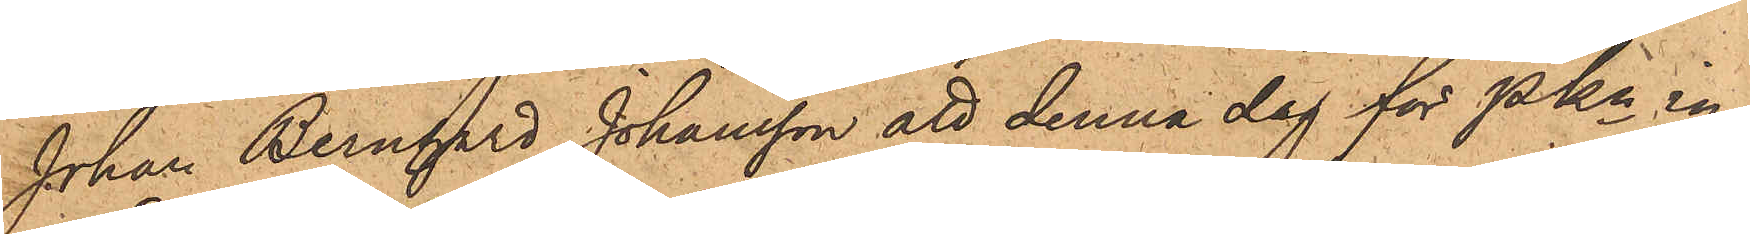Johan Bernhard Johansson att denna dag för Pkn in¬
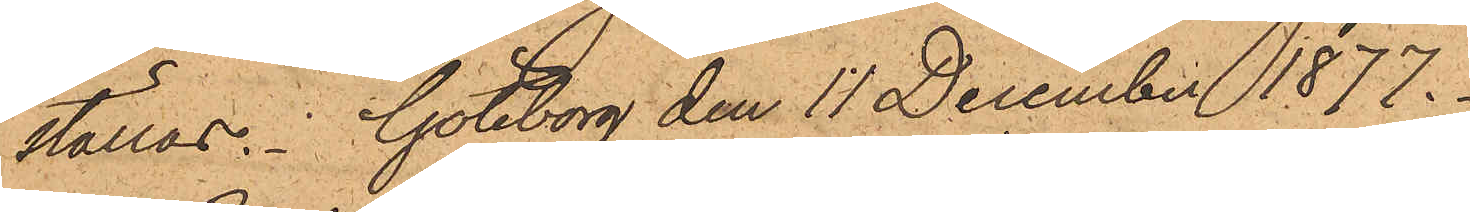ställas. Göteborg den 11 December 1877.
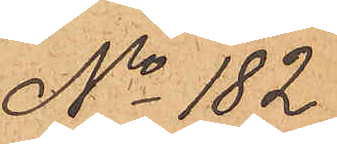No 182.
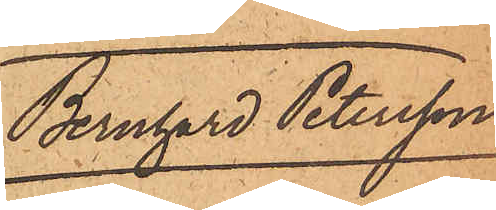Bernhard Petersson
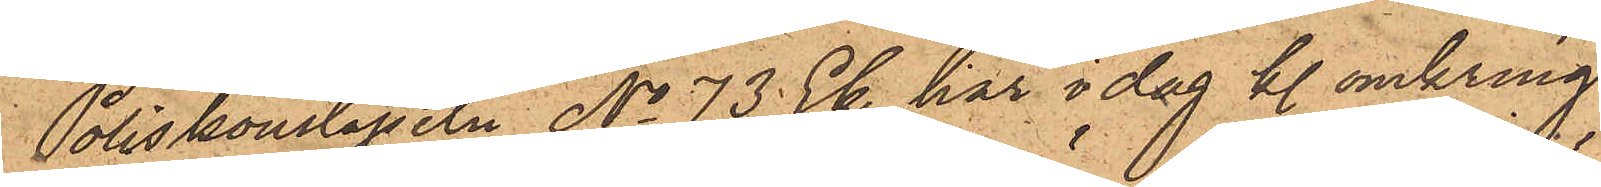Poliskonstapeln No 73 Ek har i dag kl. omkring
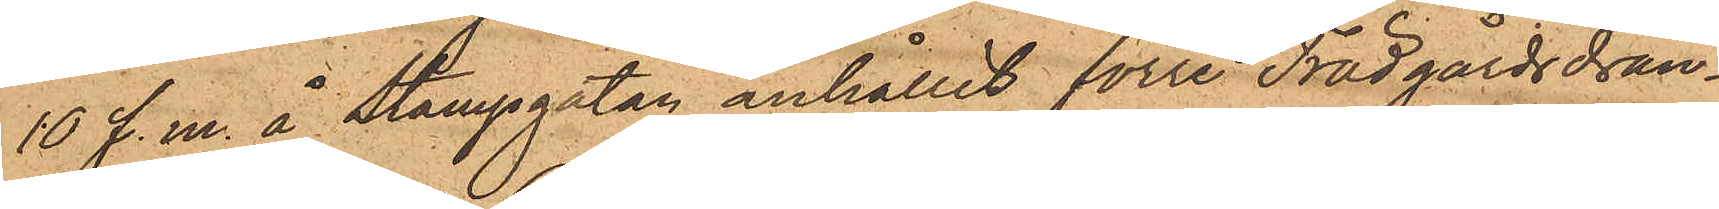10 f. m. å Stampgatan anhållit förre Trädgårdsdrän¬
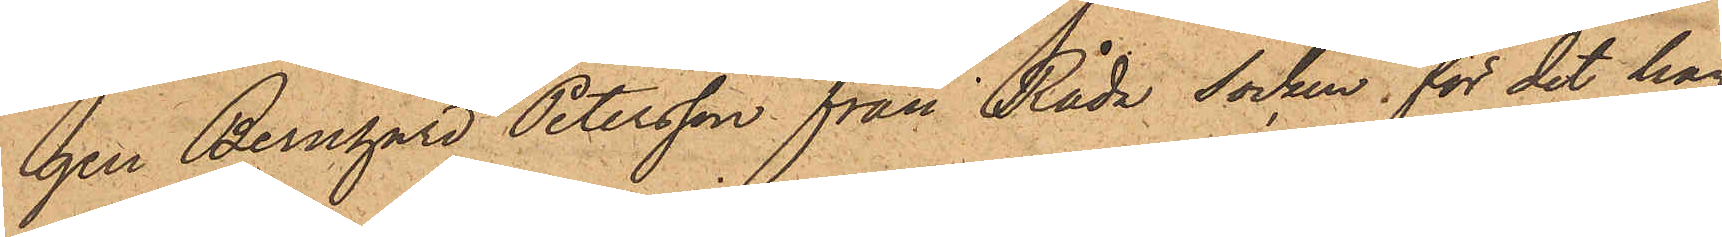gen Bernhard Petersson från Råda socken, för det han
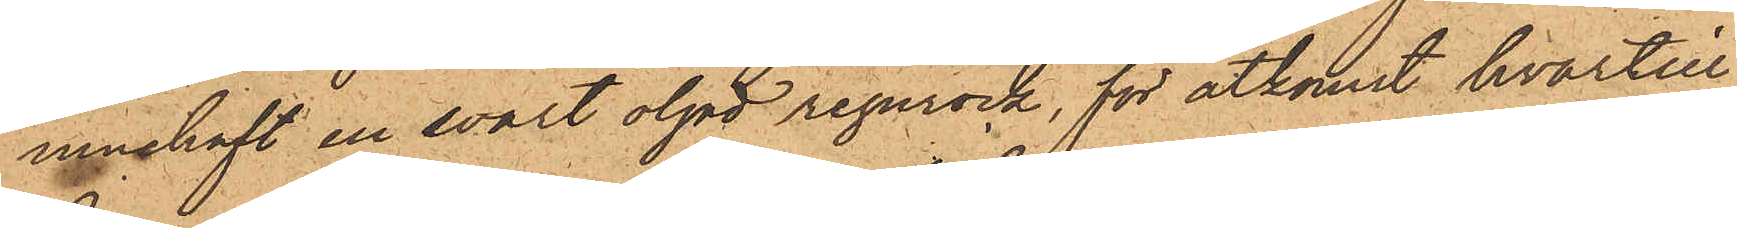innehaft en svart oljad regnrock, för åtkomst hvartill
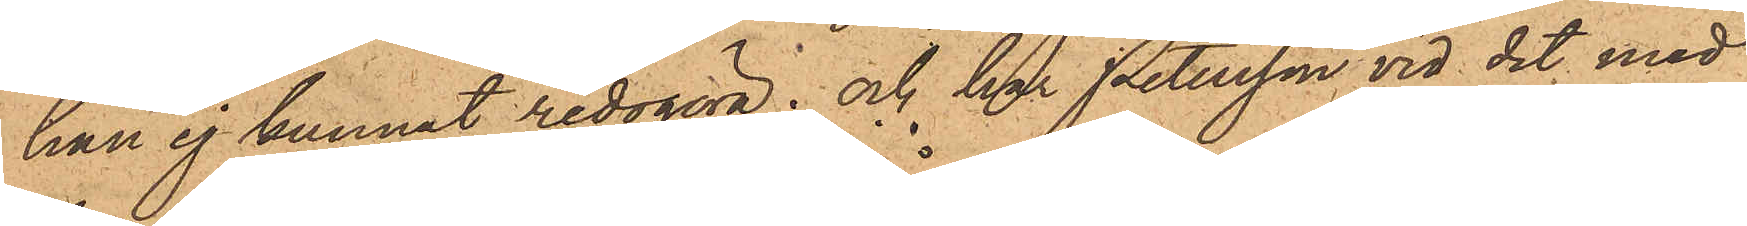han ej kunnat redogöra; och har Petersson vid det med
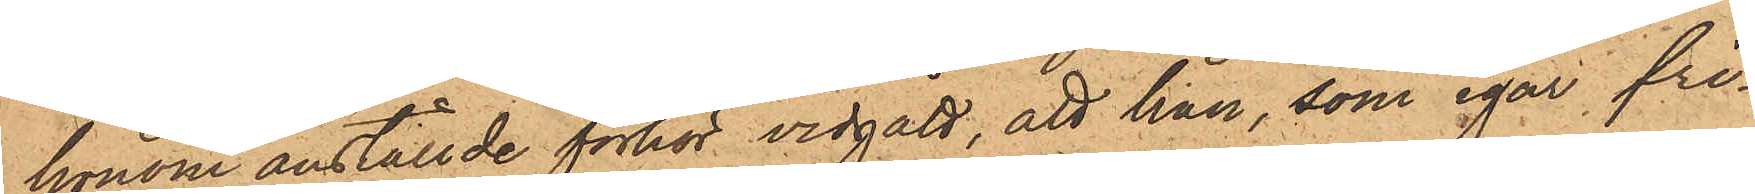honom anställde förhör vidgått att han, som igår fri¬
